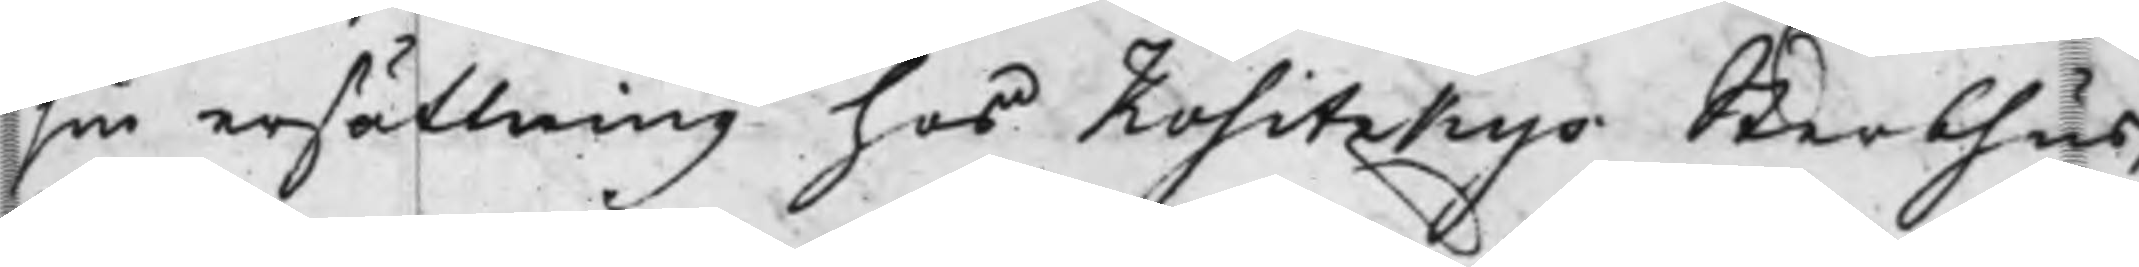sin ersättning hos Kositzkys Sterbhus,
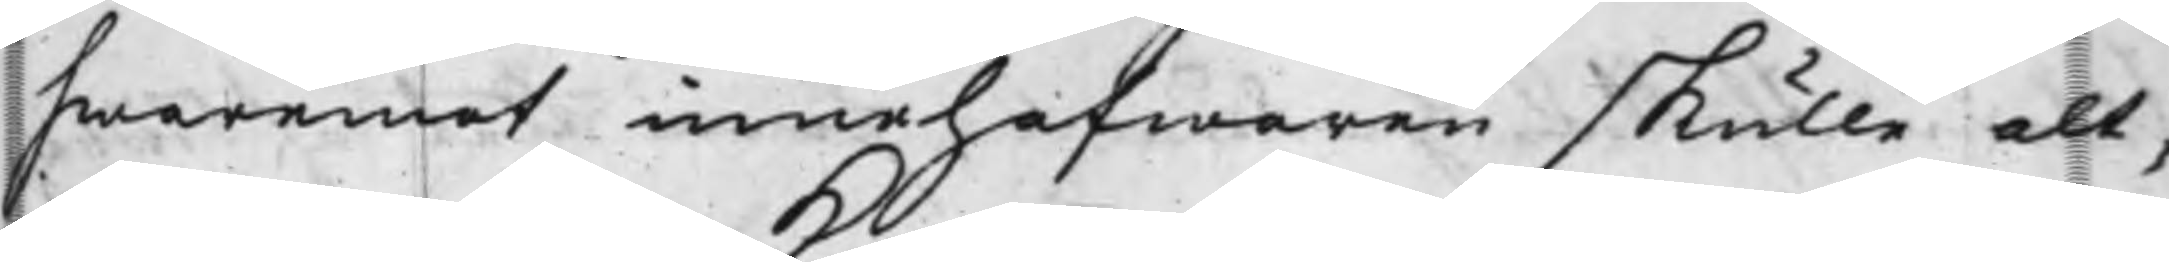hwaremot innohafwaren skulle alt¬
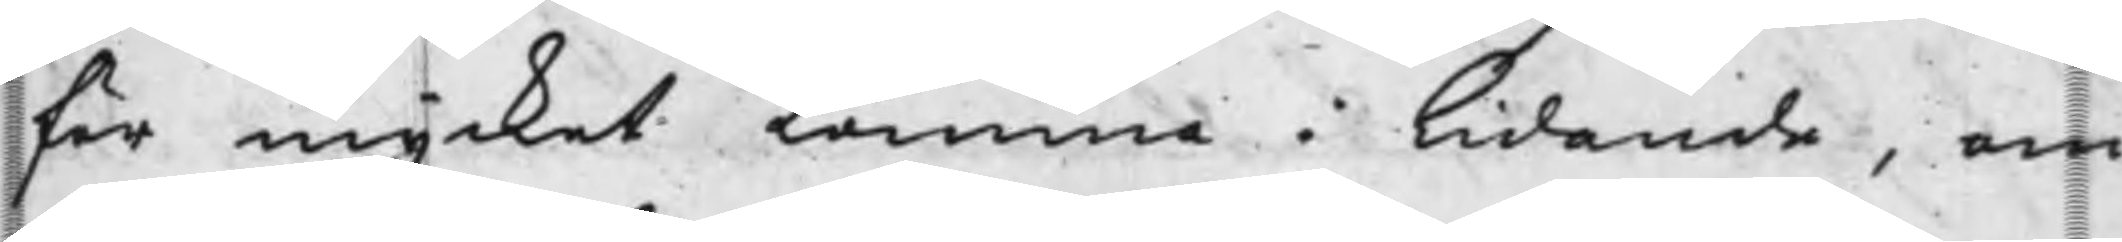för mycket komma i lidande, om
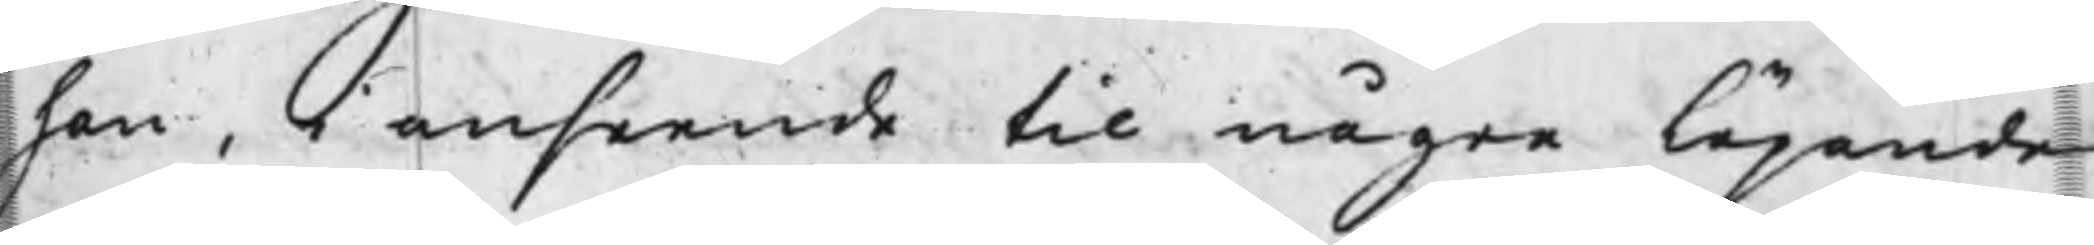han, i anseende til några löpande
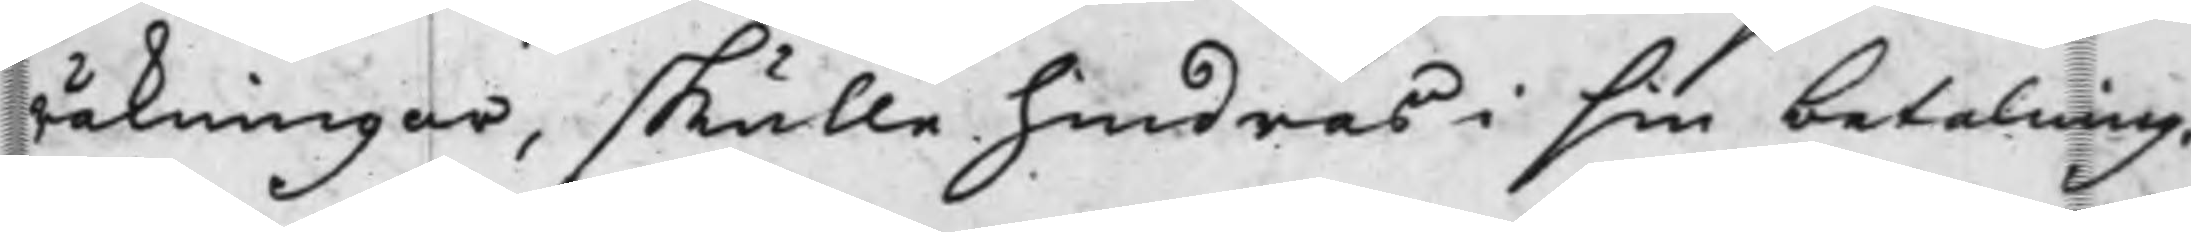räkningar, skulle hindras i sin betalning.
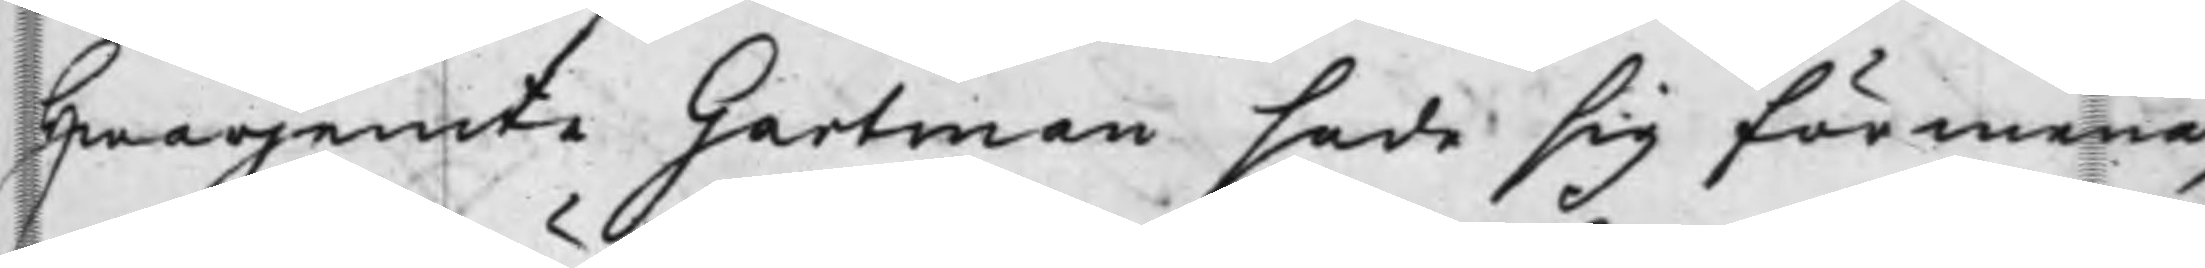Hwarjemte Gartman sade sig förmena,
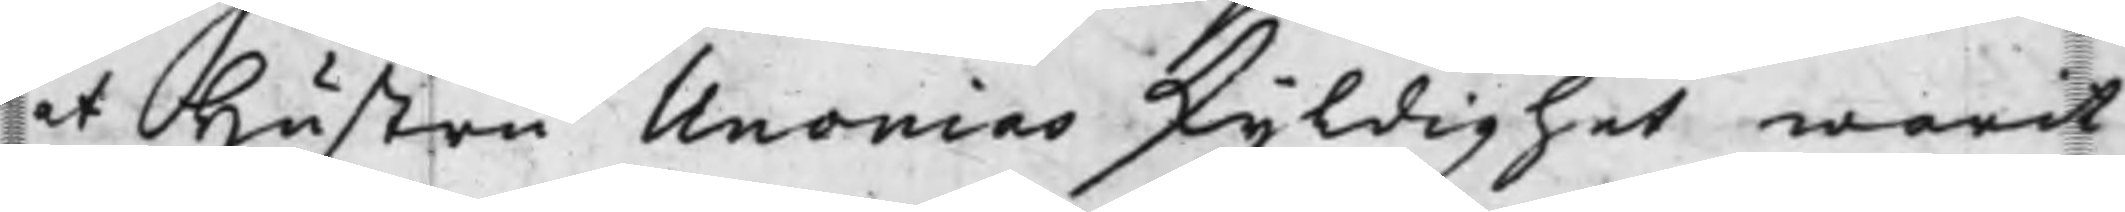at Hustru Unonias skyldighet warit
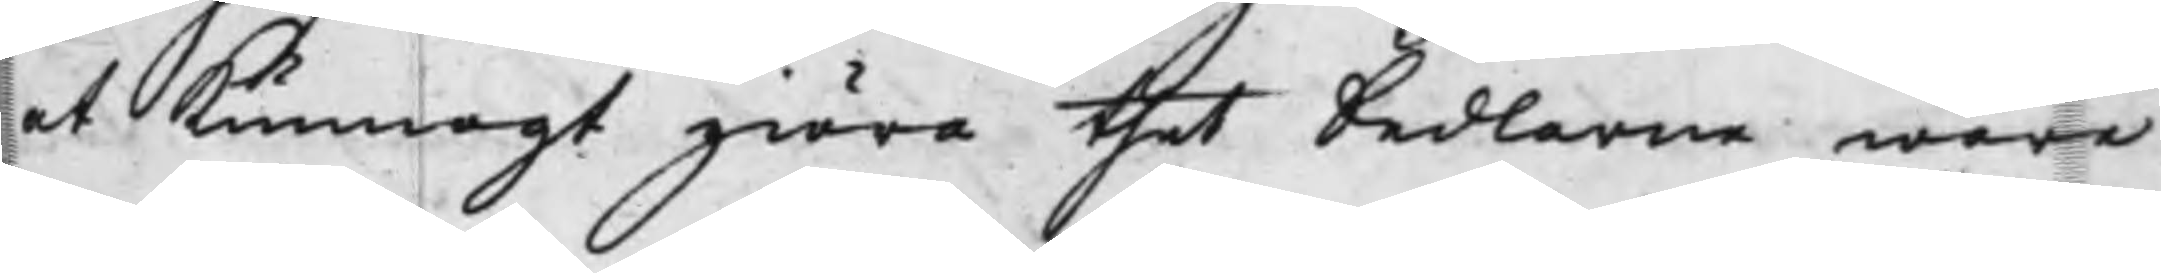at kunnogt giöra thet Sedlarne wore
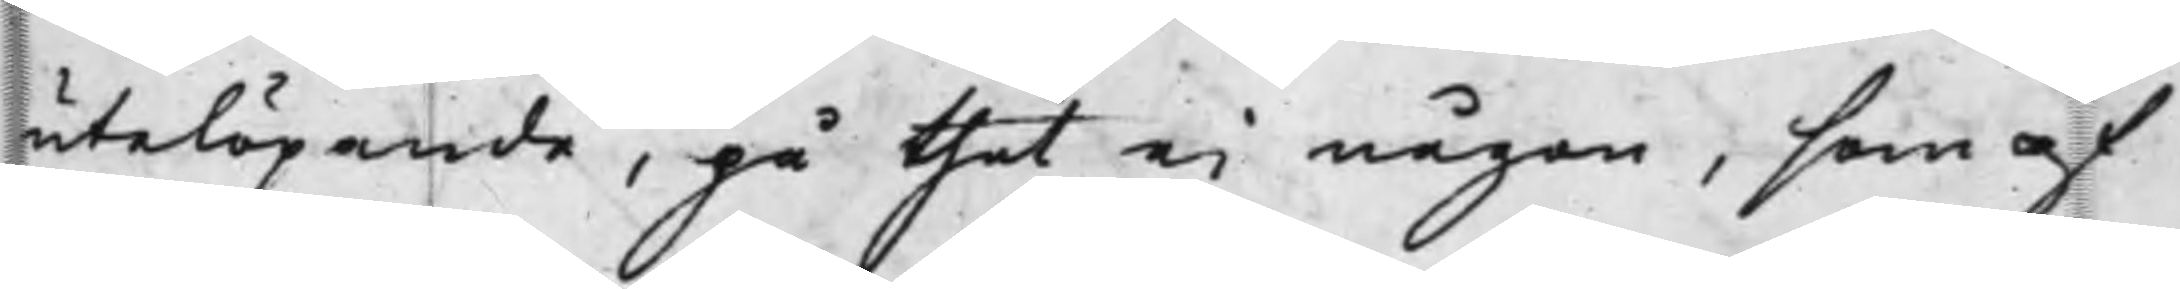utelöpande, på thet ei någon, som af
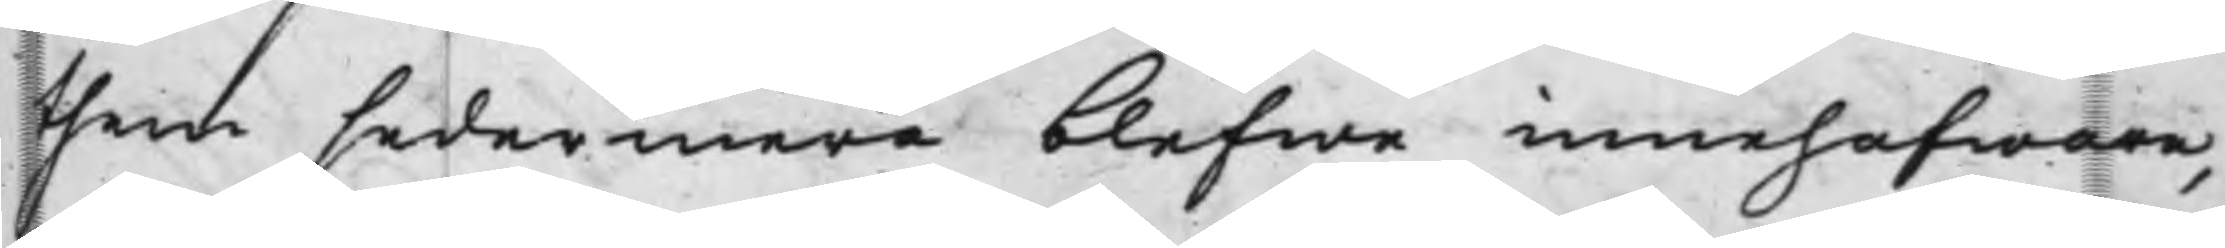them sedermera blefwe innehafware,
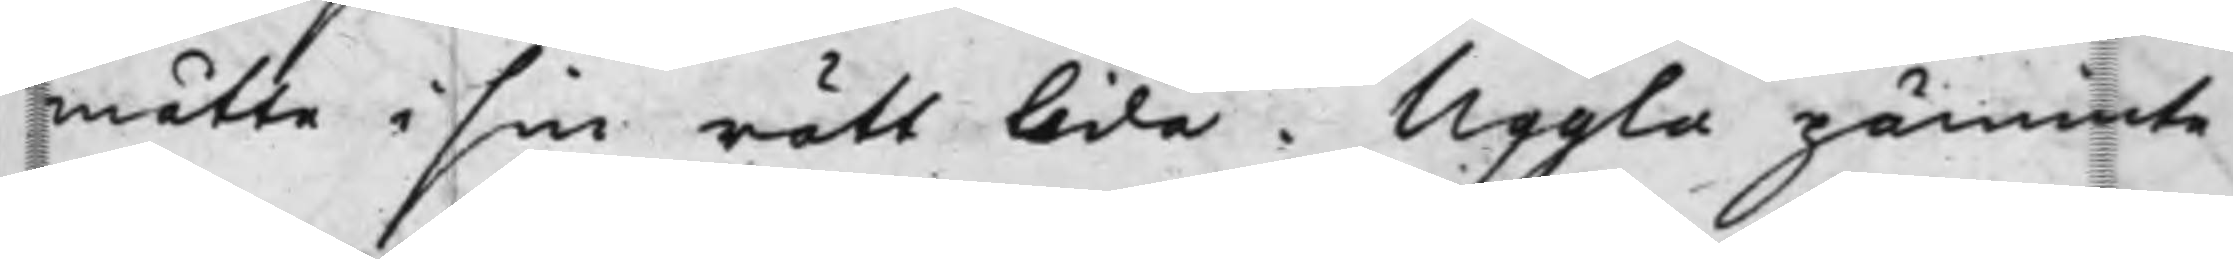mätte i sin rätt lida. Uggla påminte
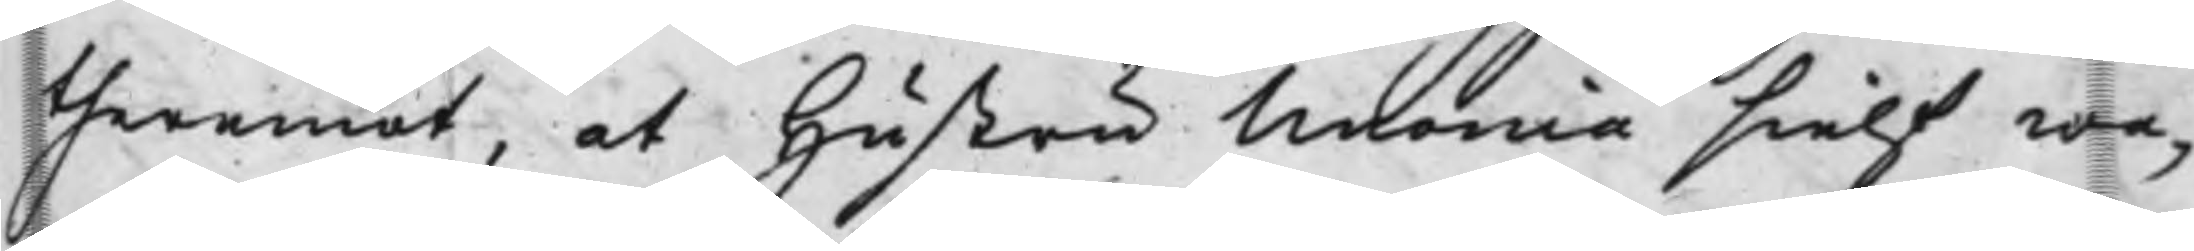theremot, at hustru Unonia sielf wa¬
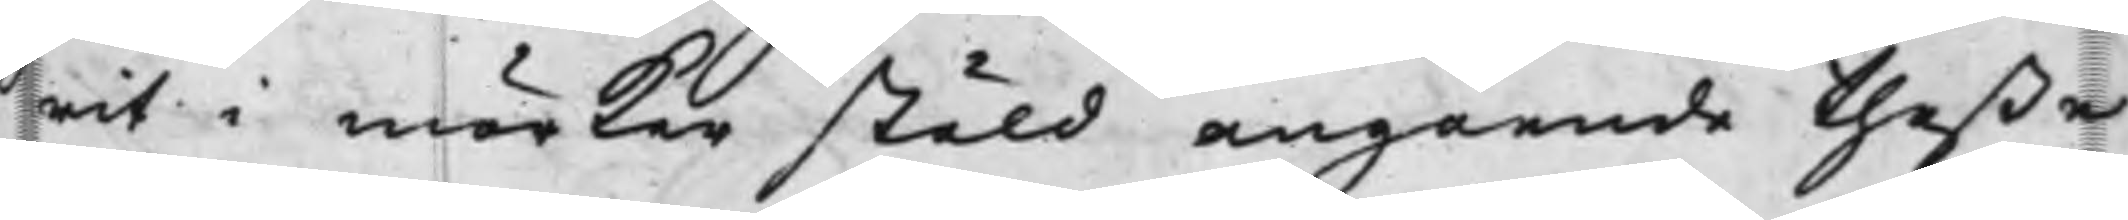rit i mörker stäld angående theße
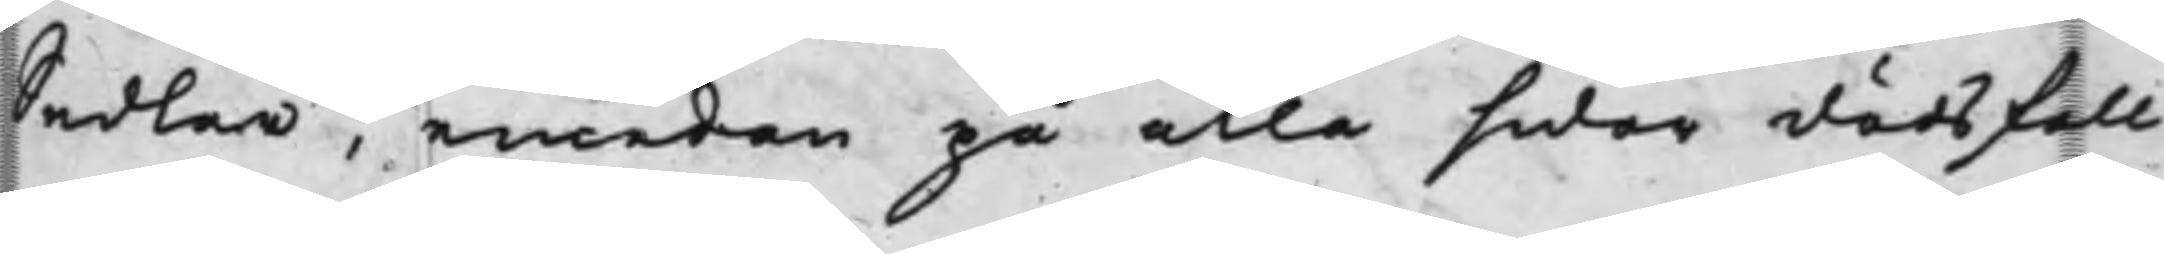Sedlar, emedan på alla sidor dödsfall
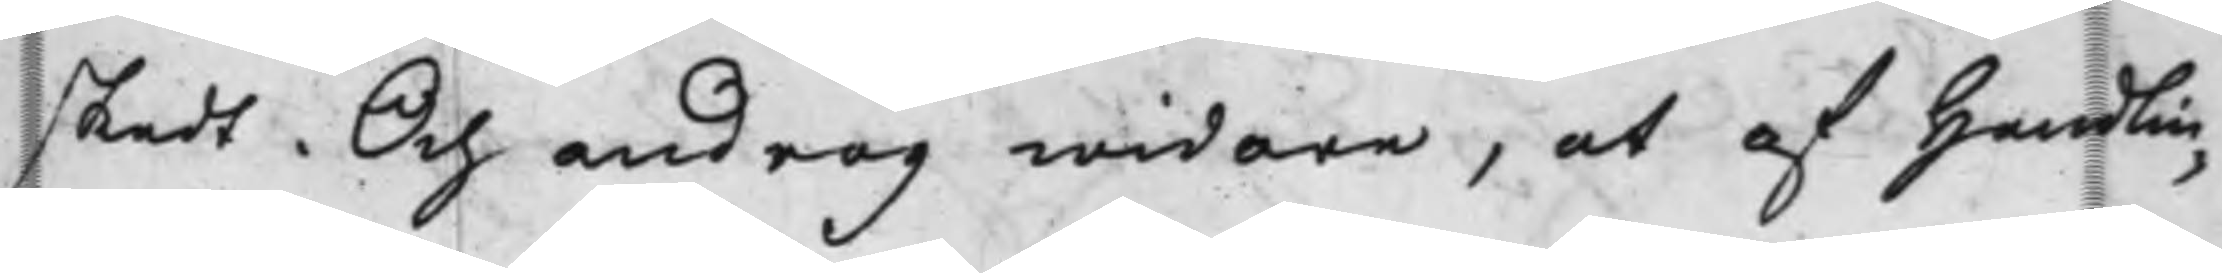skedt. Och androg widare, at af handlin¬
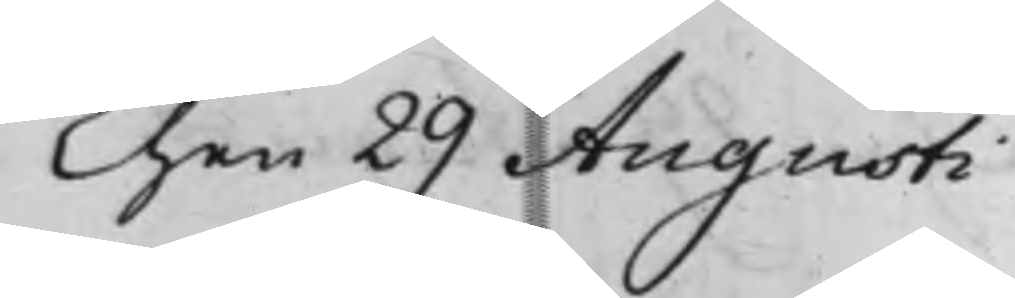den 29 Augusti
